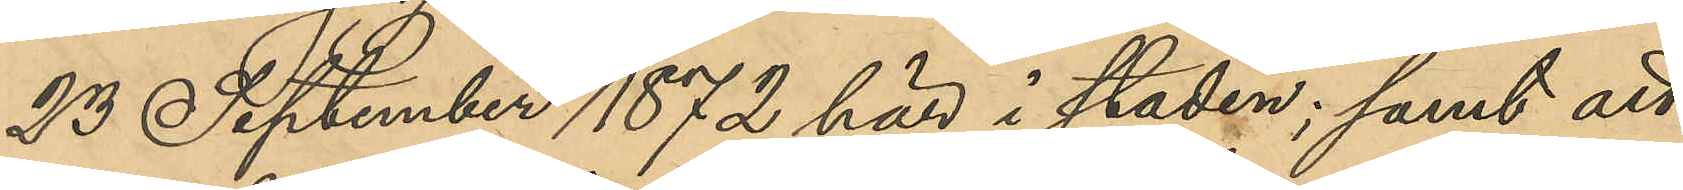23 Septmber 1872 här i staden; samt att
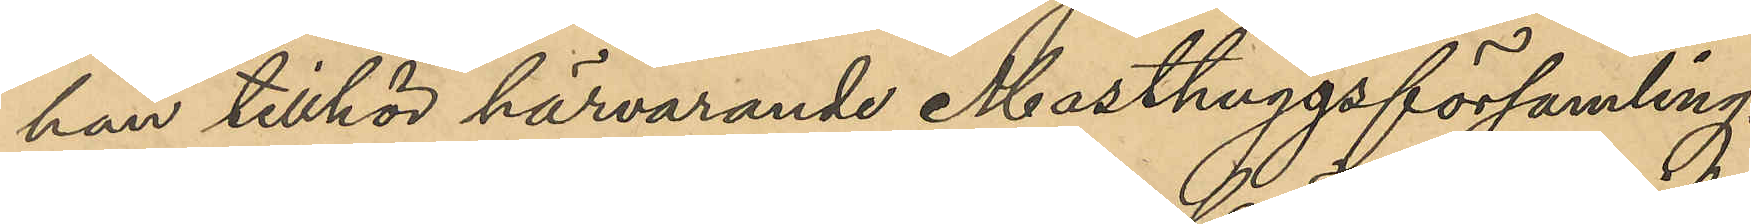han tillhör härvarande Masthuggs församling.
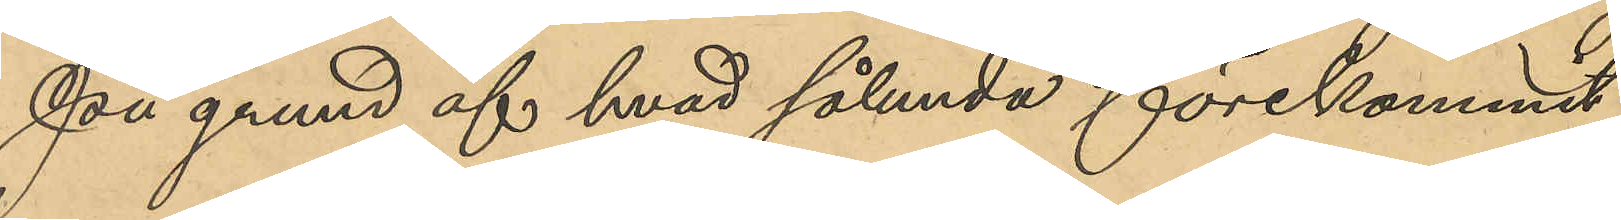På grund af hvad sålunda förekommit
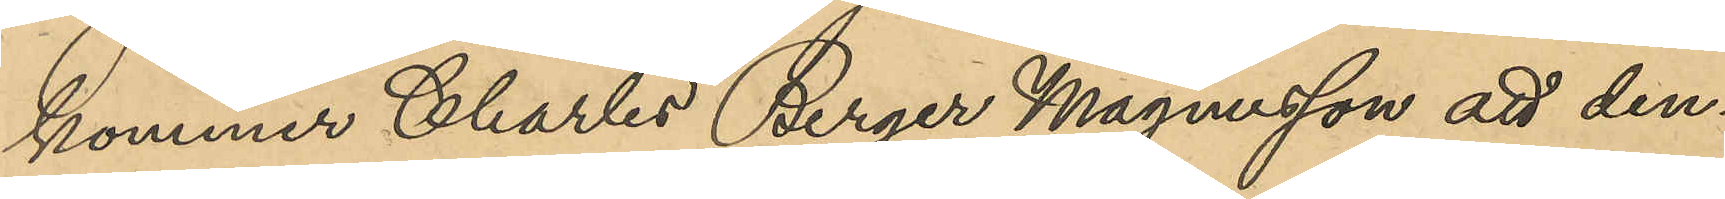kommer Charles Birger Magnusson att den¬
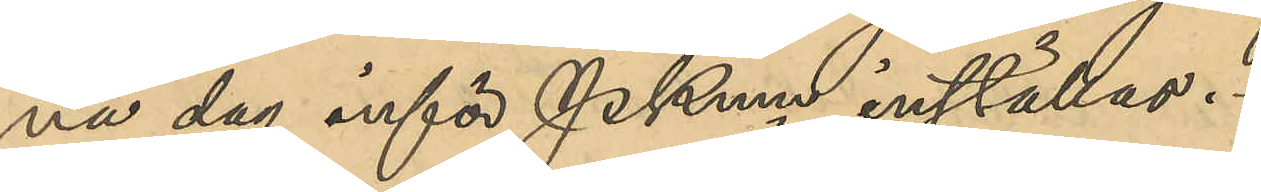na dag inför Pkmn inställas.
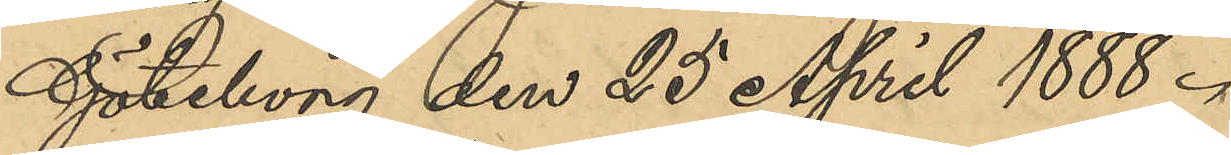Göteborg den 25 April 1888.
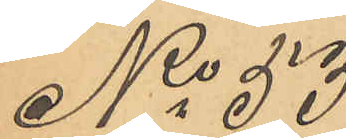No  53
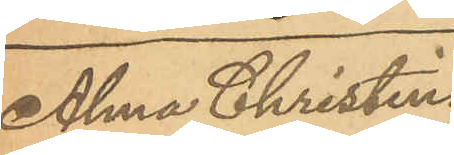Alma Christina
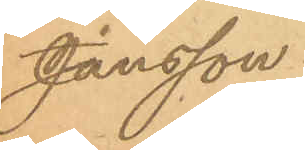Jansson.
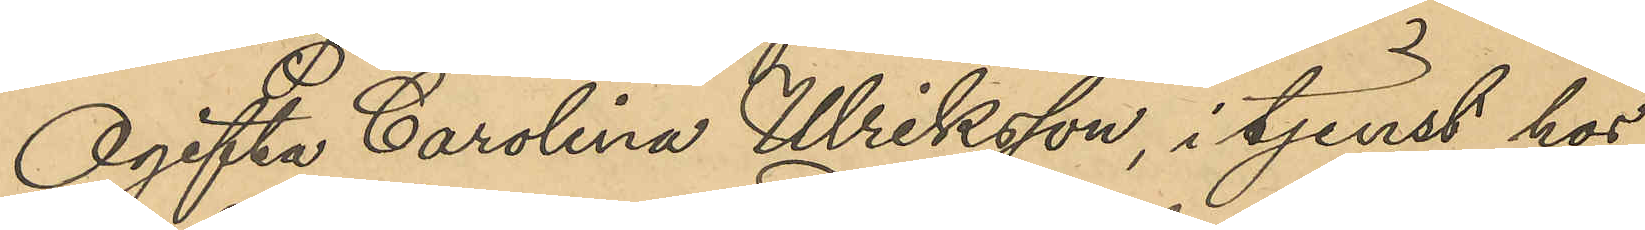Ogifta Carolina Ulriksson, i tjenst hos
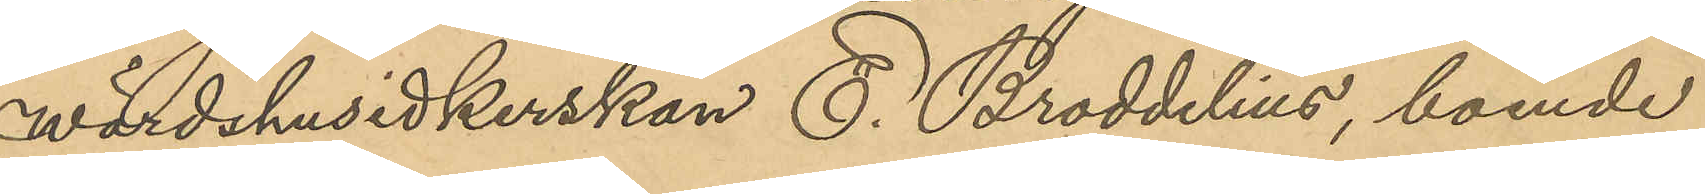wärdshusidkerskan E. Broddelius, boende
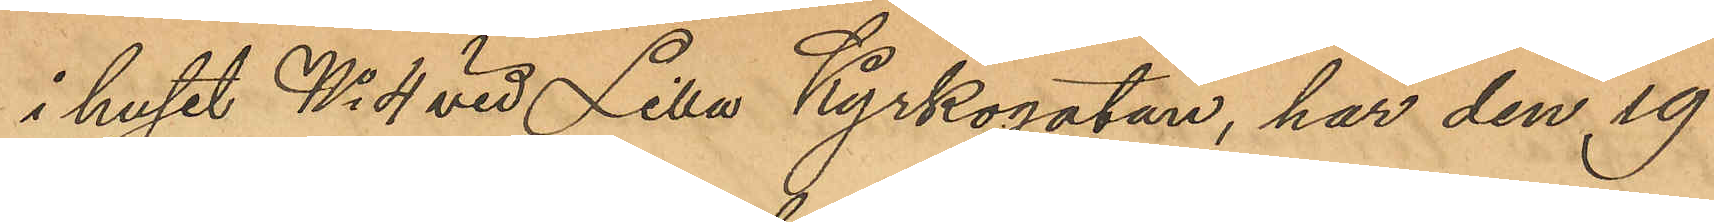i huset No 4 vid Lilla Kyrkogatan, har den 19
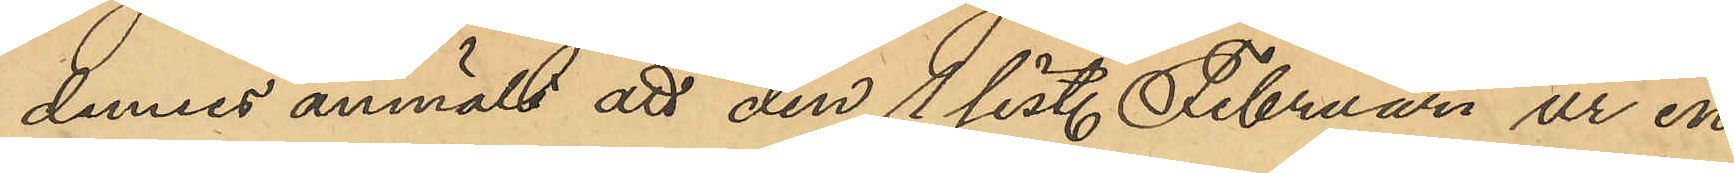dennes anmält att den 1 sist. Februari ur en
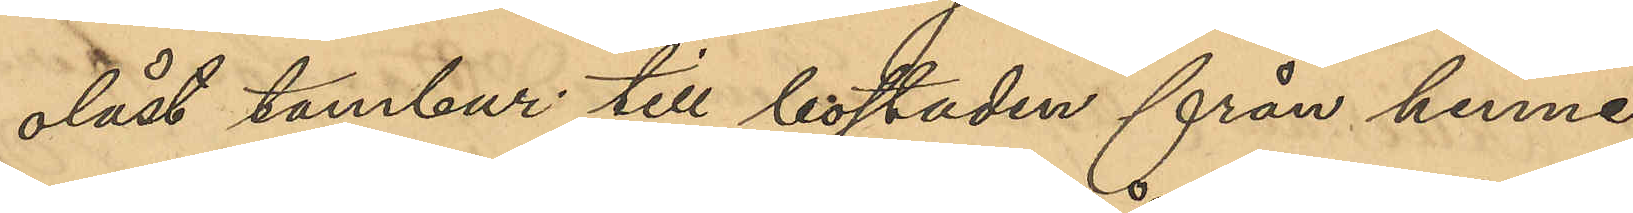olåst tambur till bostaden från henne
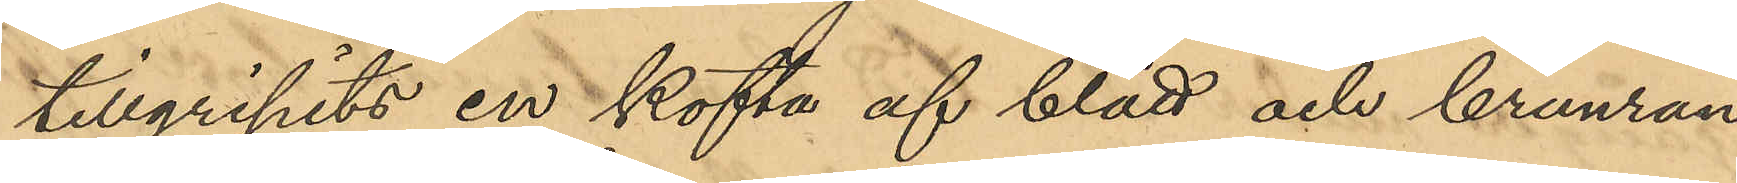tillgripits en kofta af blått och brunran¬
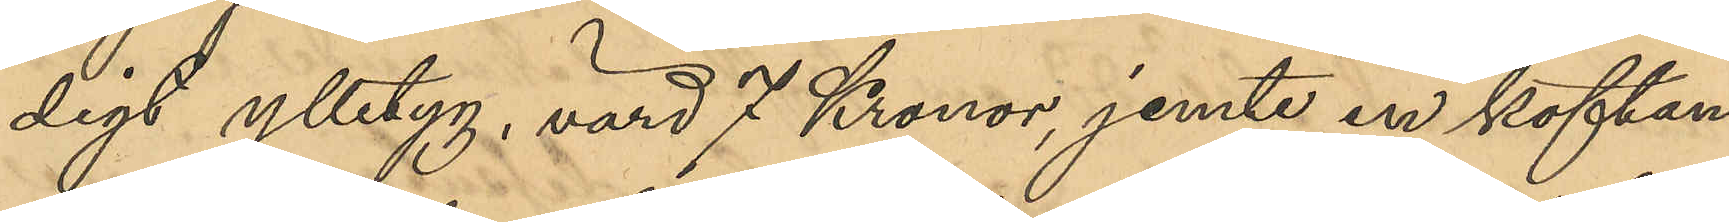digt ylletyg, värd 7 Kronor, jemte en koftan
